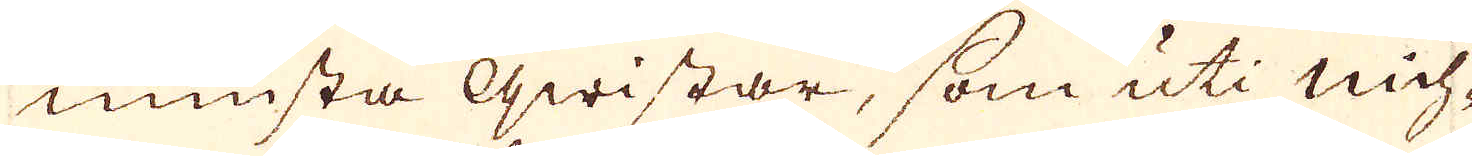minsta qwistar, som uti mih-
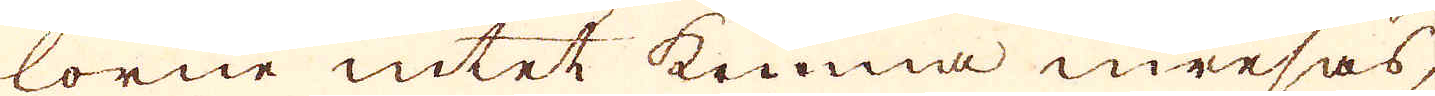lorne intet komma inresas,
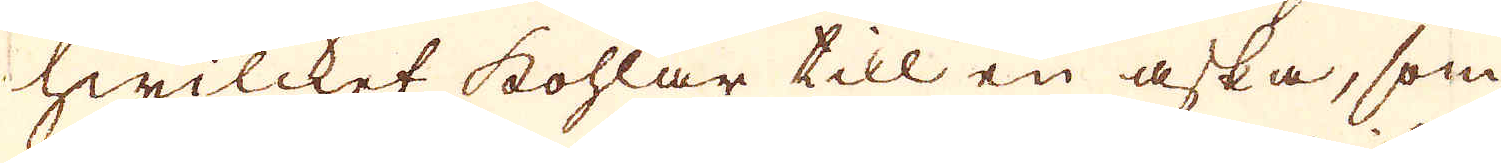hwilcket kohlar till en aska, som
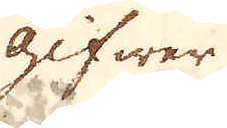gifwer
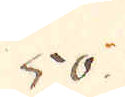50.
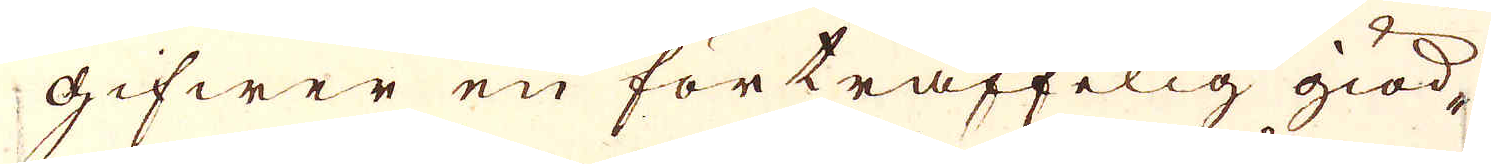gifwer en förträffelig giöd-
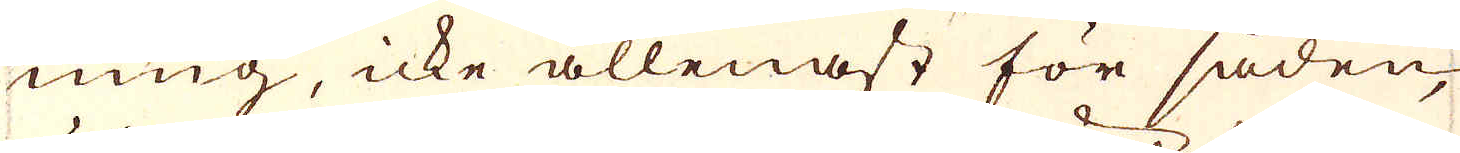ning, icke allenast för såden,
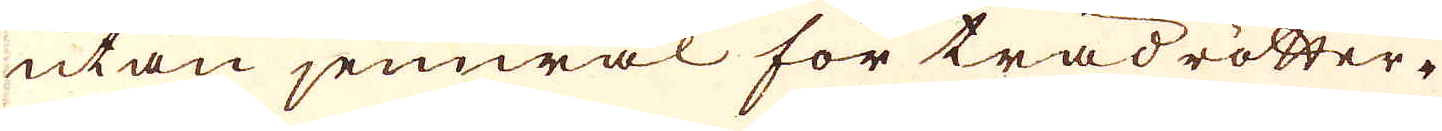utan jemwäl för trädrötter-
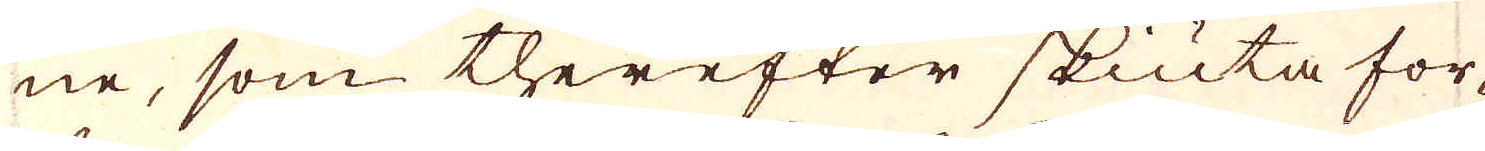ne, som therefter skiuta for-
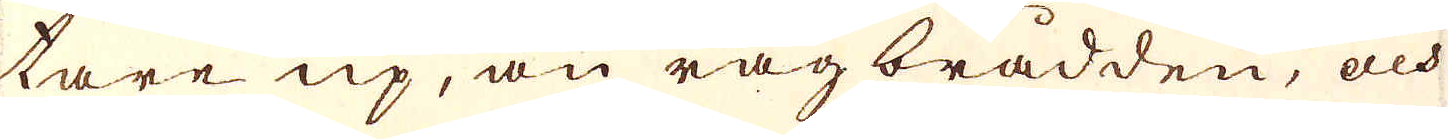tare up, än råg brådden, och
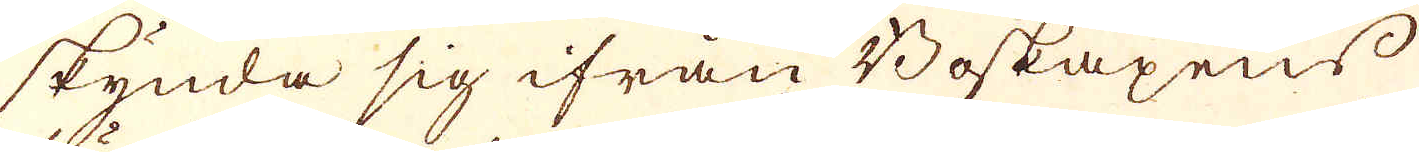skynda sig ifrån Boskapens
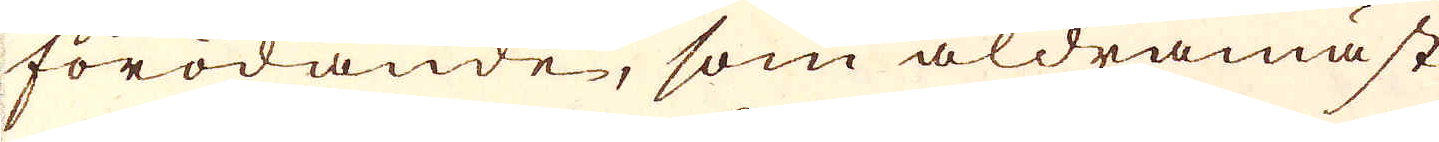förödande, som aldramäst
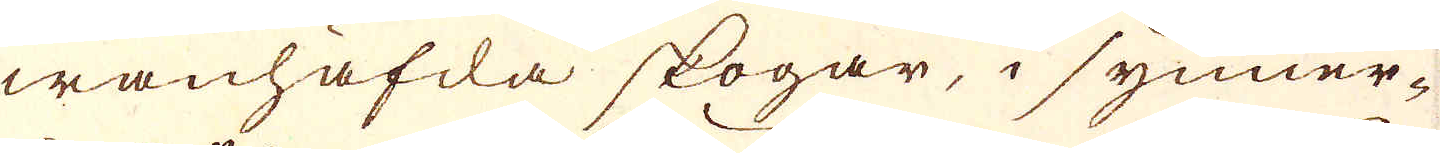wanhäfda skogar, i synner-
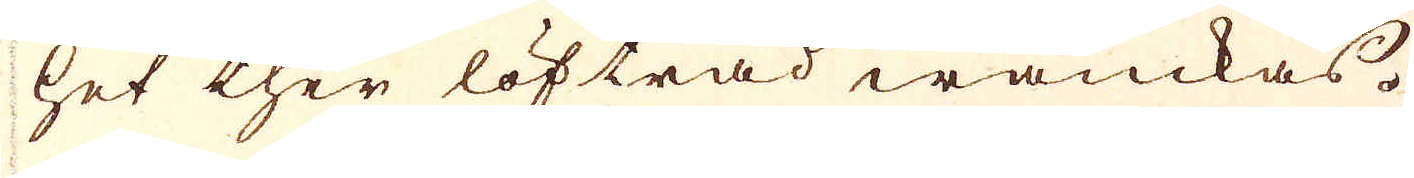het ther löfträd wanckas.
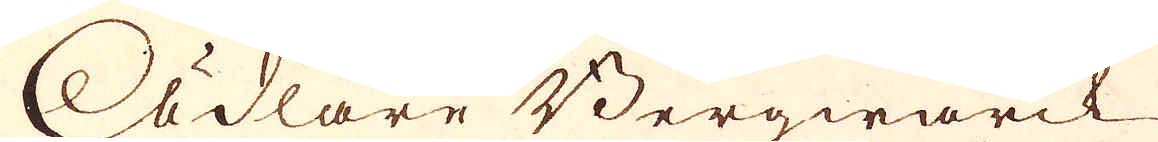Ädlare Bergwärck
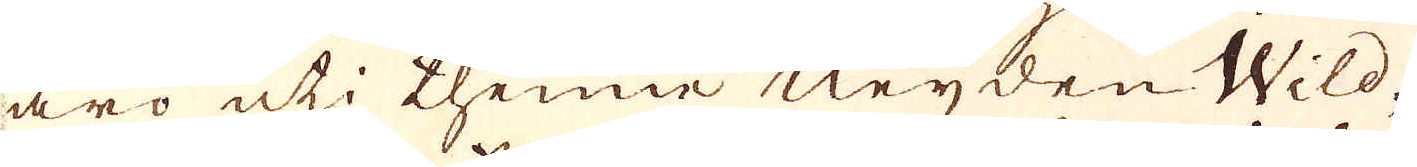äro uti thenne Neyden Wild-
